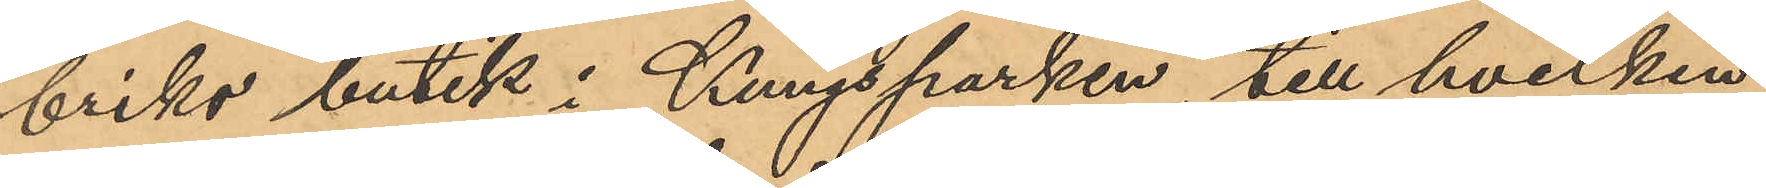briks butik i Kungsparken, till hvilken
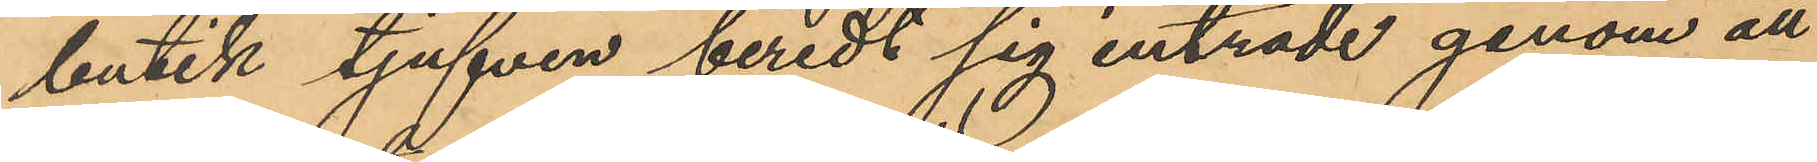butik tjufven beredt sig inträde genom att
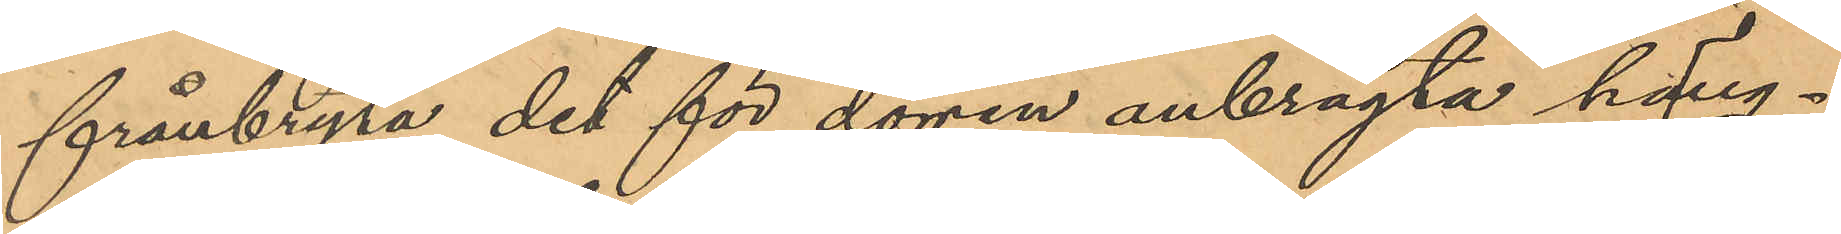frånbryta det för dörren anbragta häng¬
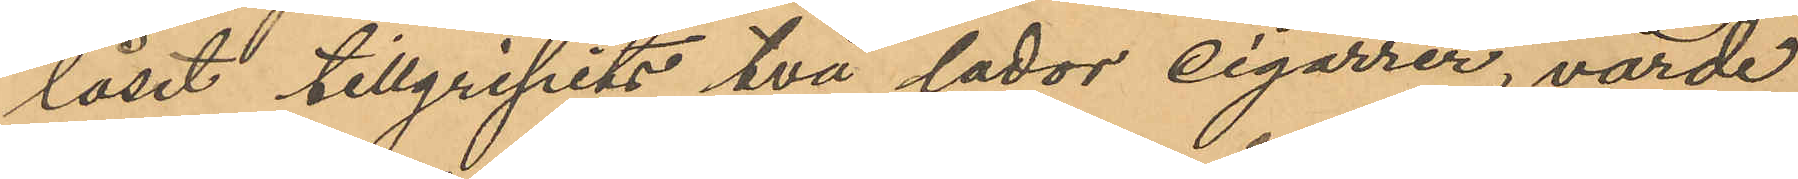låset tillgripits två lador cigarrer, värde
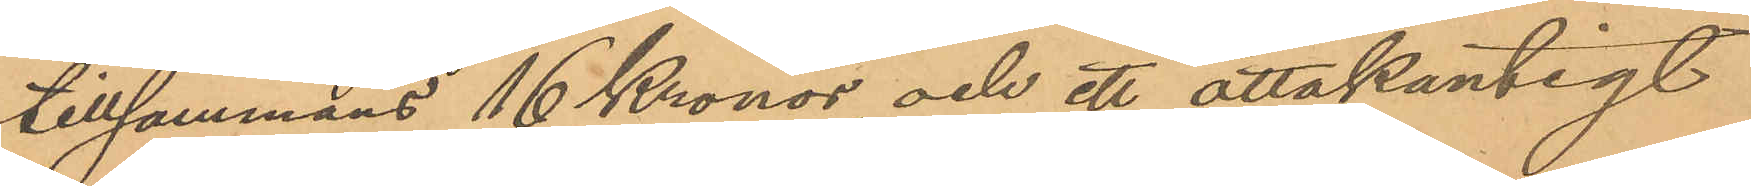tillsammans 16 Kronor, och ett åttakantigt
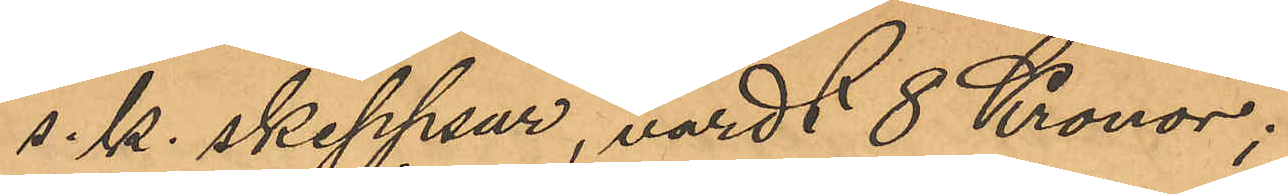s.k. skeppsur, värdt 8 Kronor;
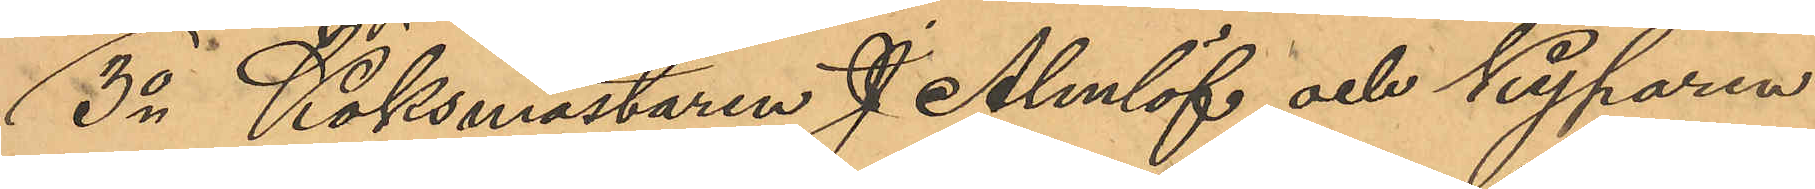3o Köksmästaren J. Almlöf och Kyparen
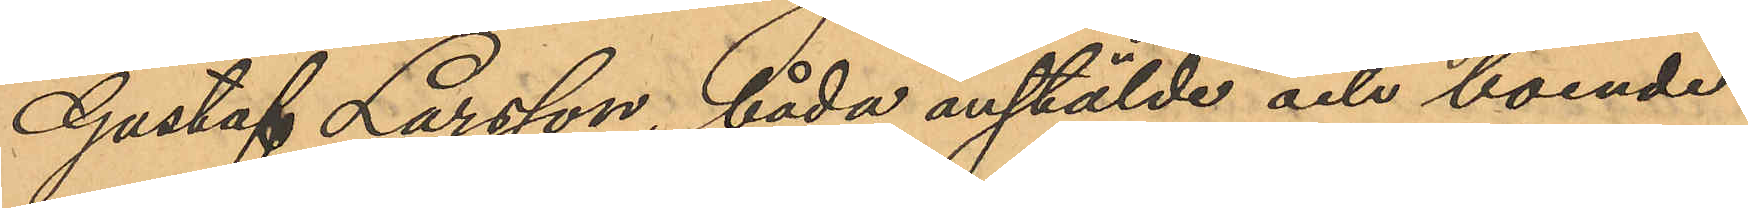Gustaf Larsson, båda anstälde och boende
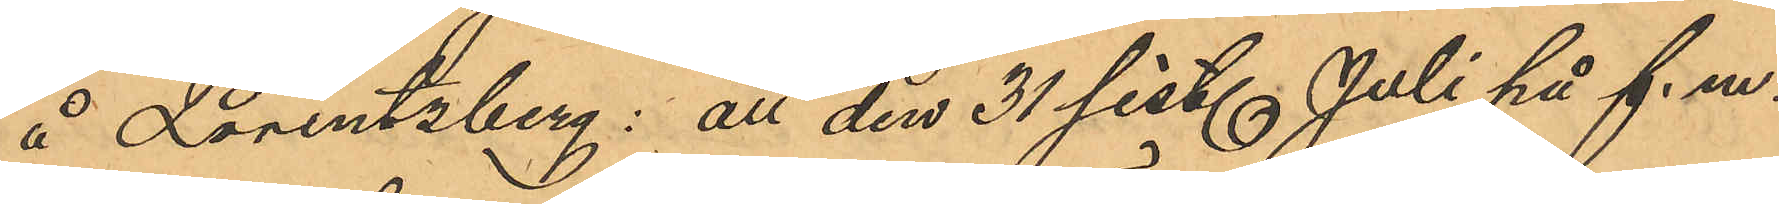å Lorentzberg: att den 31 sist. Juli på f. m.
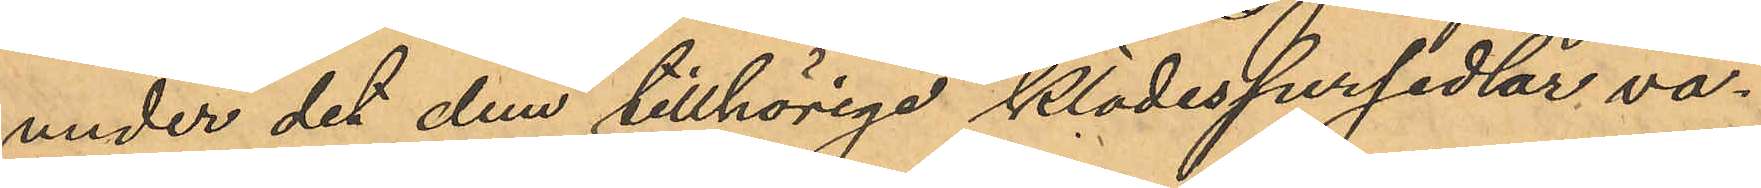under det dem tillhörige klädespersedlar va¬
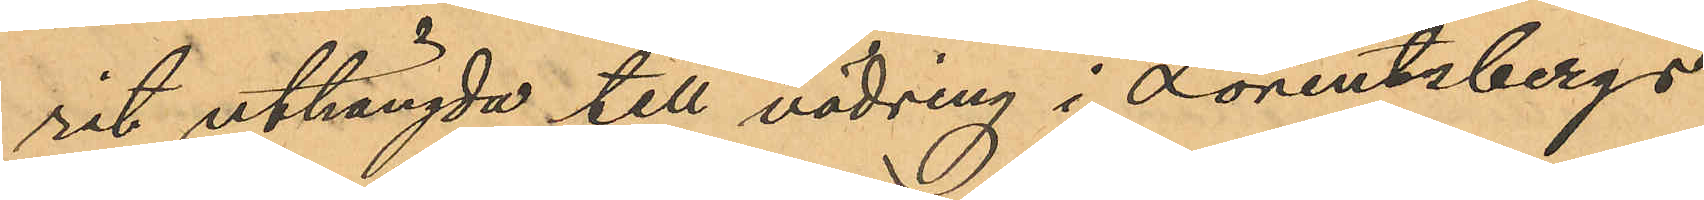rit uthängda till vädring i Lorentzbergs
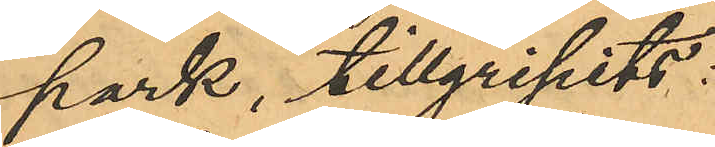park, tillgripits:
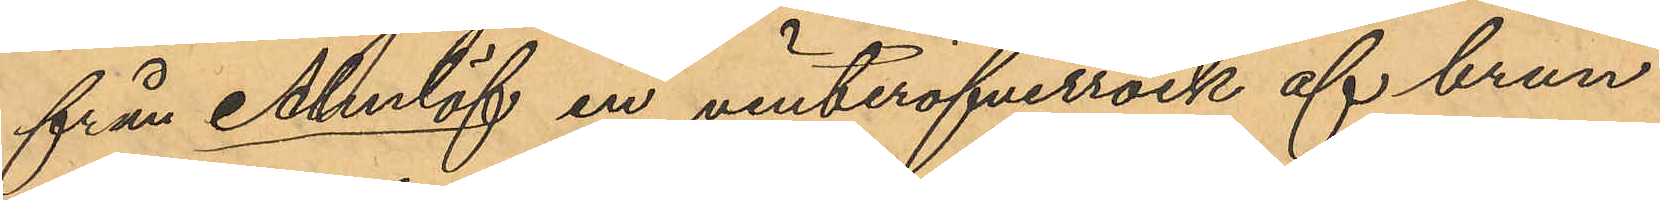från Almlöf en vinteröfverrock af brun
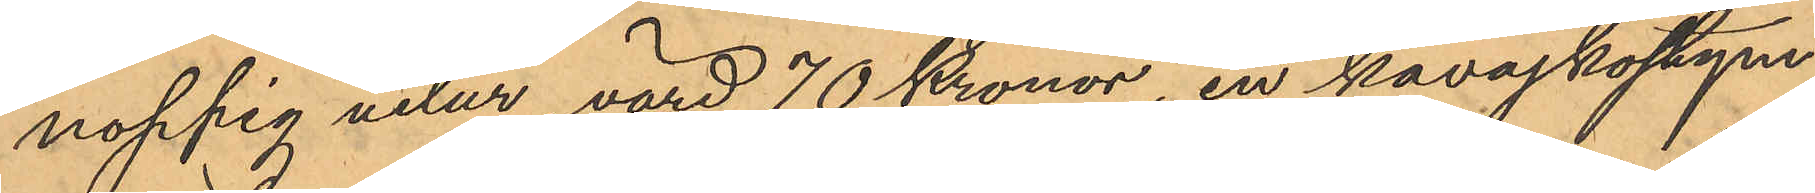noppig velur, värd 70 Kronor, en kavajkostym
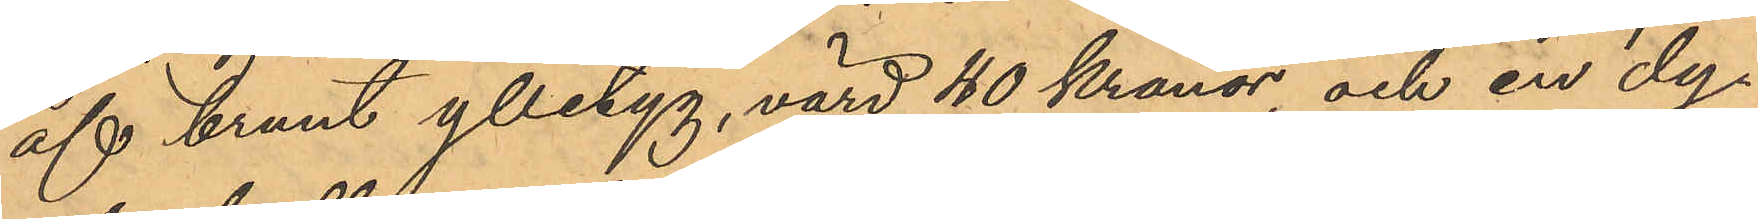af brunt ylletyg, värd 40 kronor, och en dy¬
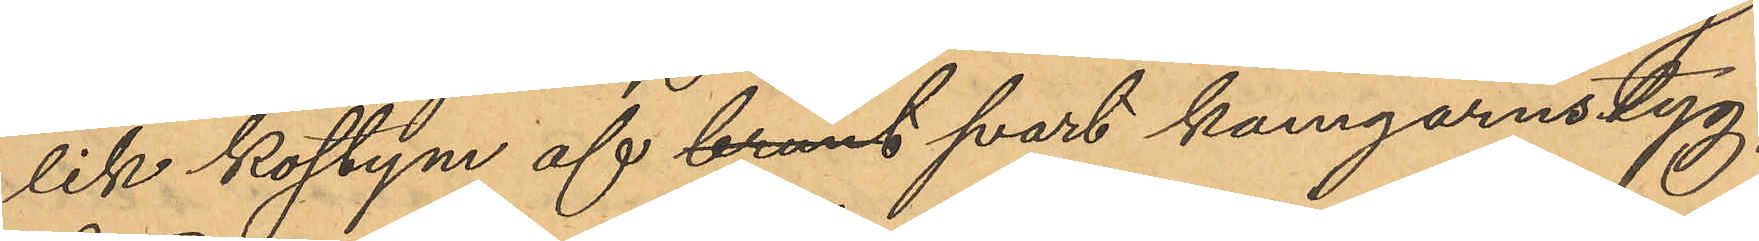lik kostym af brunt svart kamgarnstyg,
